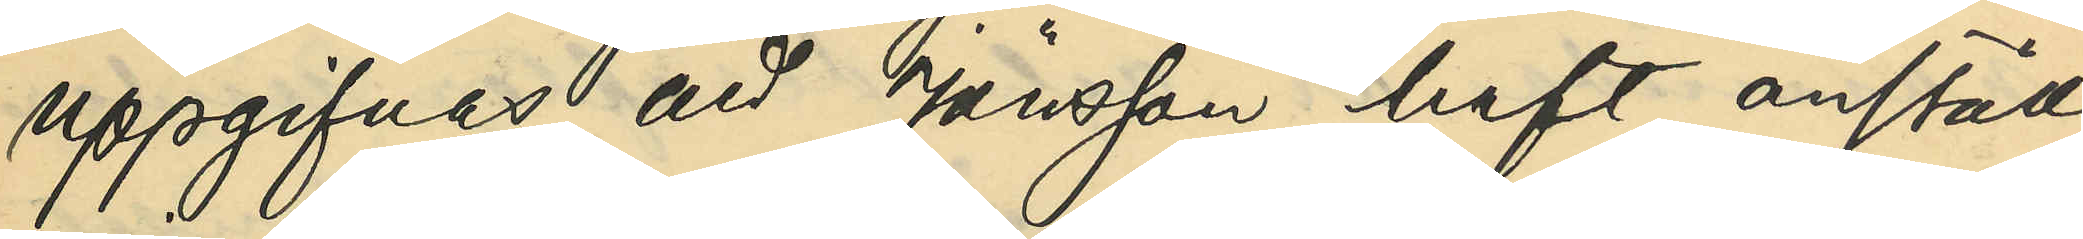uppgifvas, att Jönsson haft anställ¬
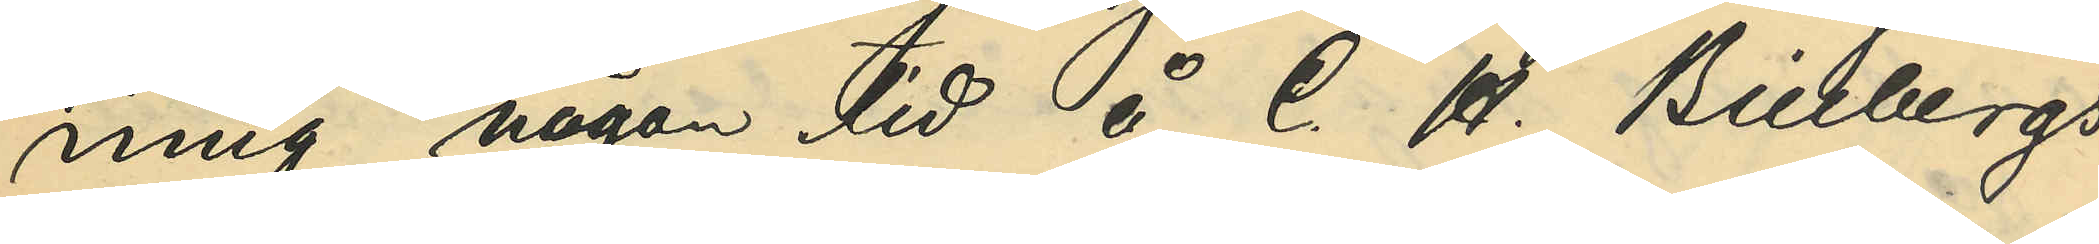ning någon tid å C. H. Billbergs
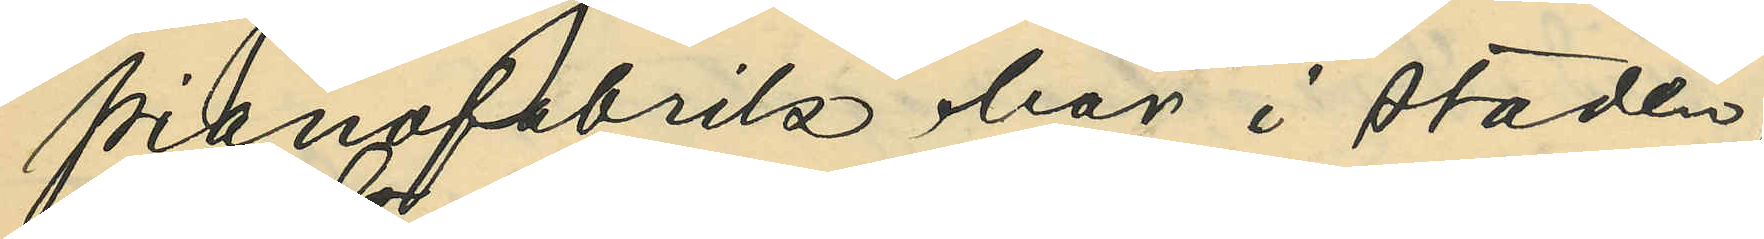pianofabrik här i staden;
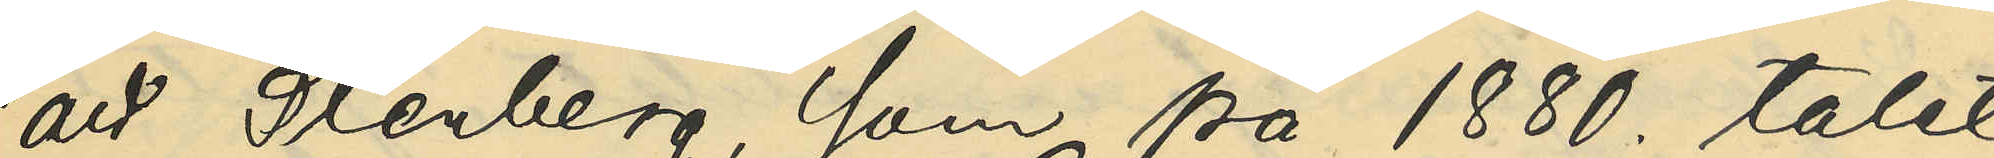att Stenberg, som på 1880. talet
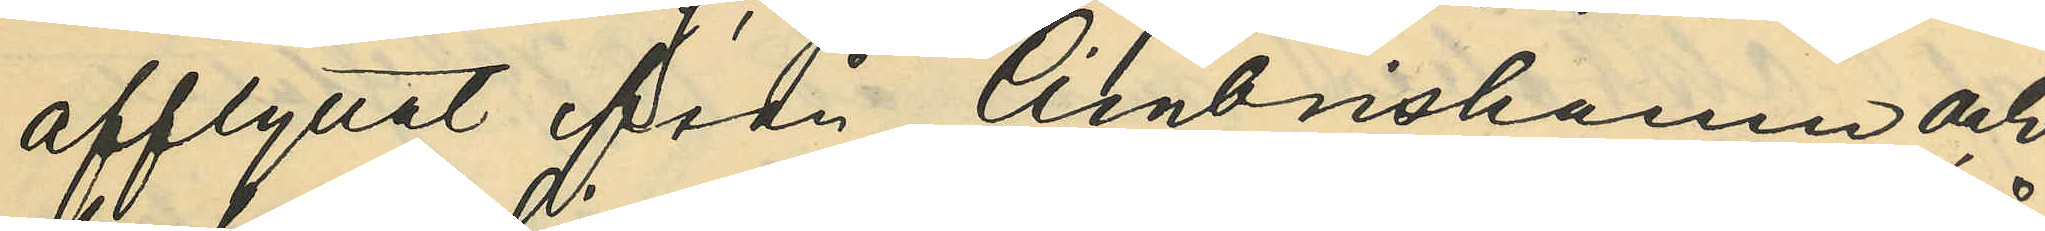afflyttat från Cimbrishamn och
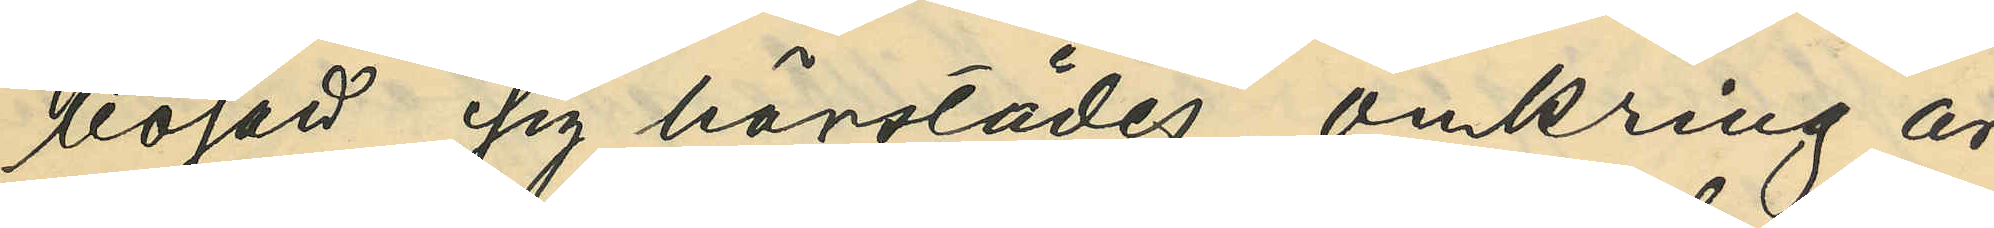bosatt sig härstädes omkring år
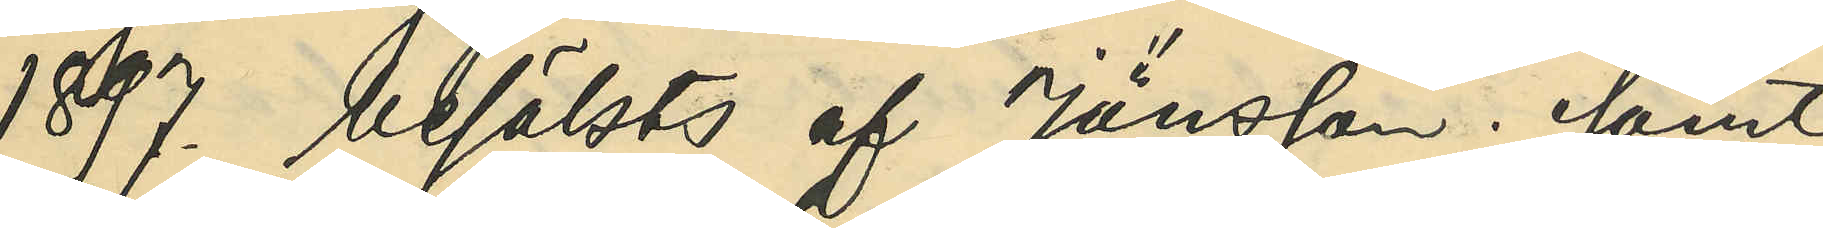1897. besökts af Jönsson; samt
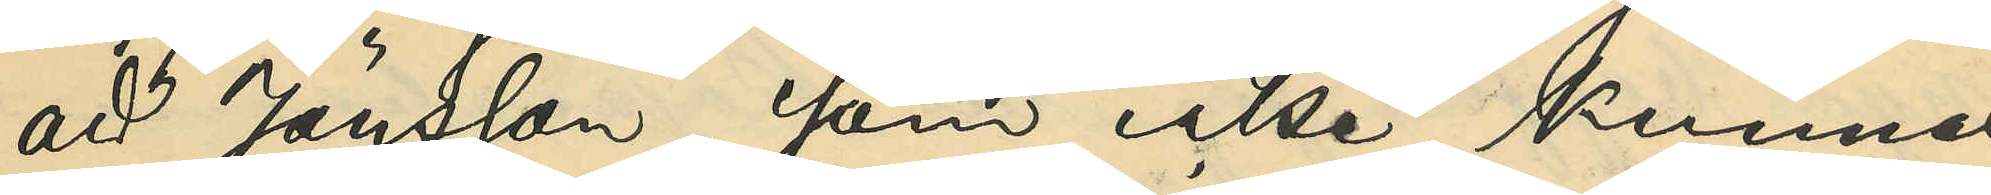att Jönsson, som icke kunnat
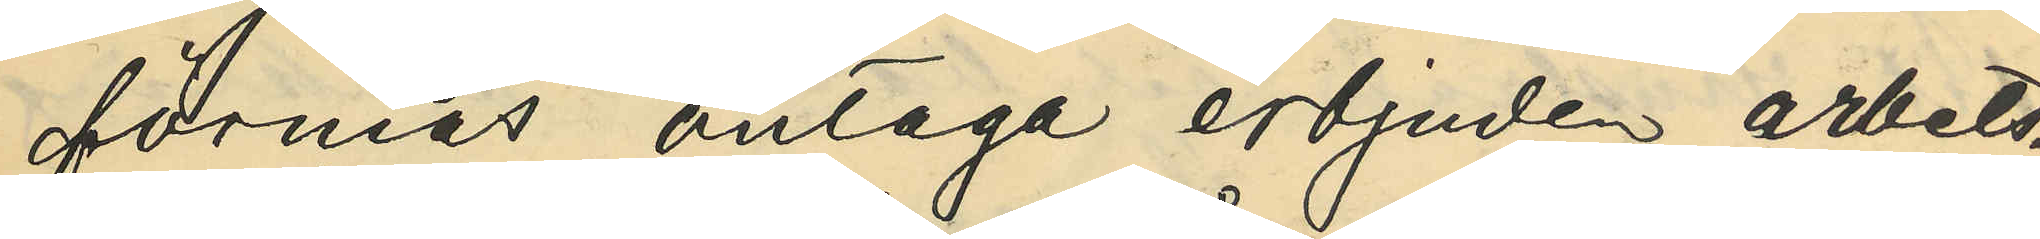förmås antaga erbjuden arbets¬
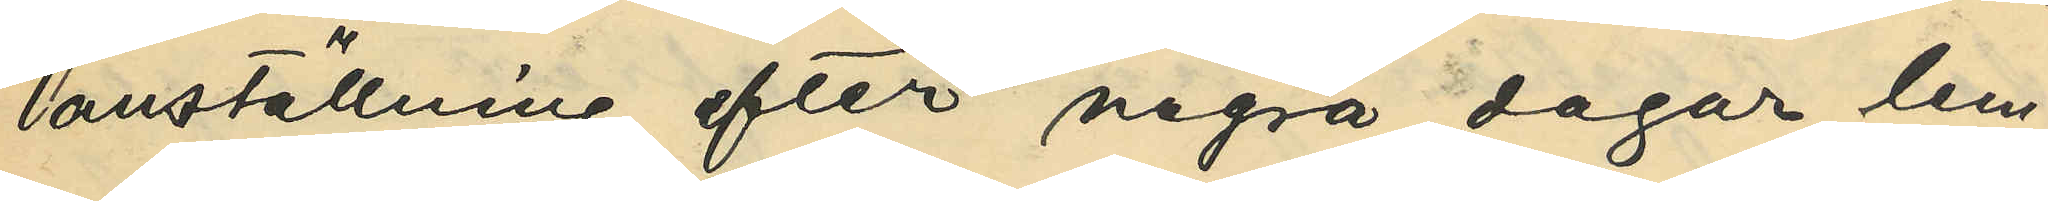anställning, efter några dagar lem¬
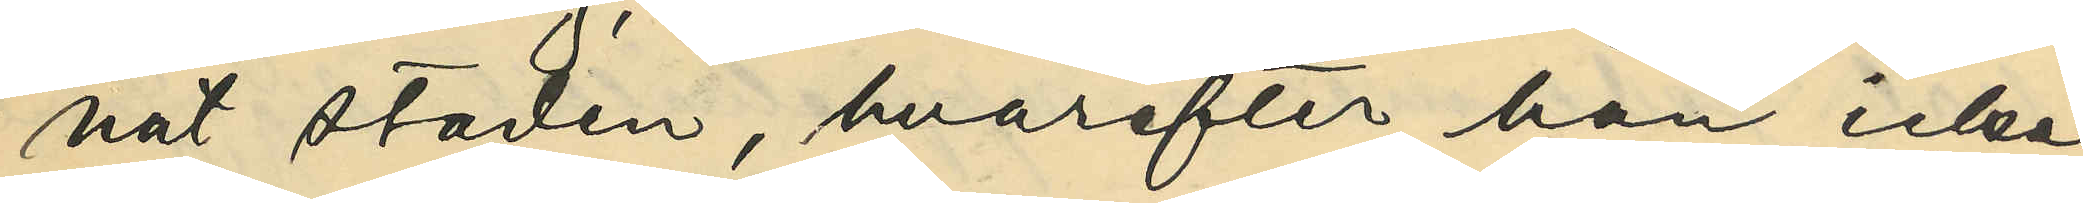nat staden, hvarefter han icke
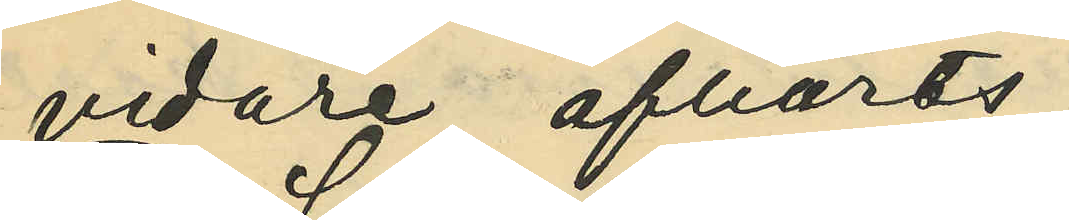vidare afhörts;
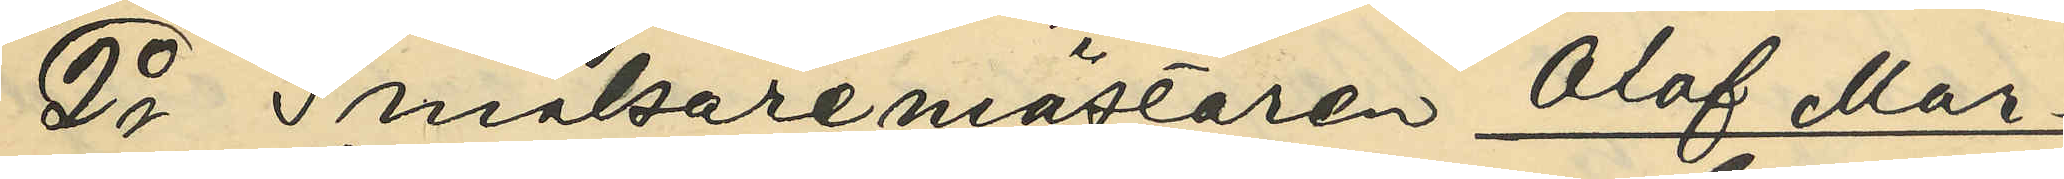2o Snickaremästare Olof Mar¬
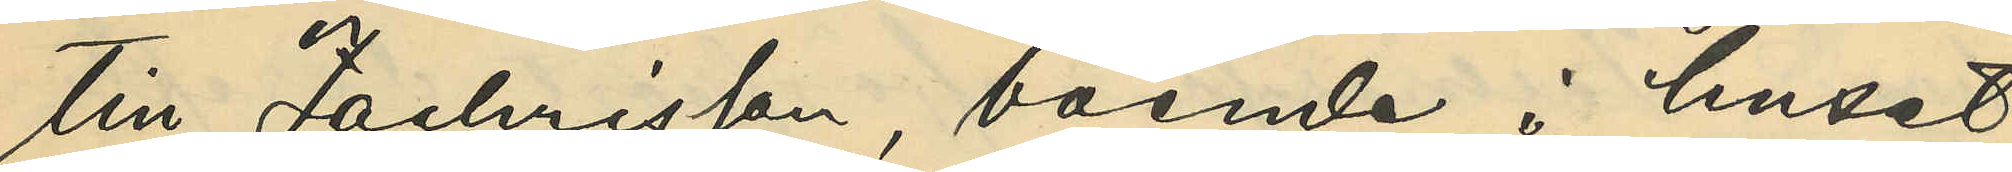tin Zachrisson, boende i huset
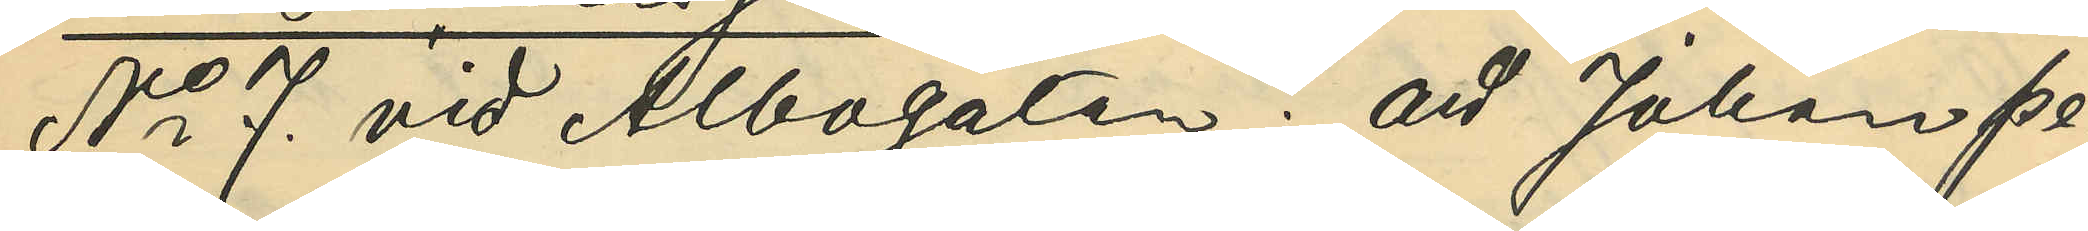No 7 vid Albogatan: att Johan Pe¬
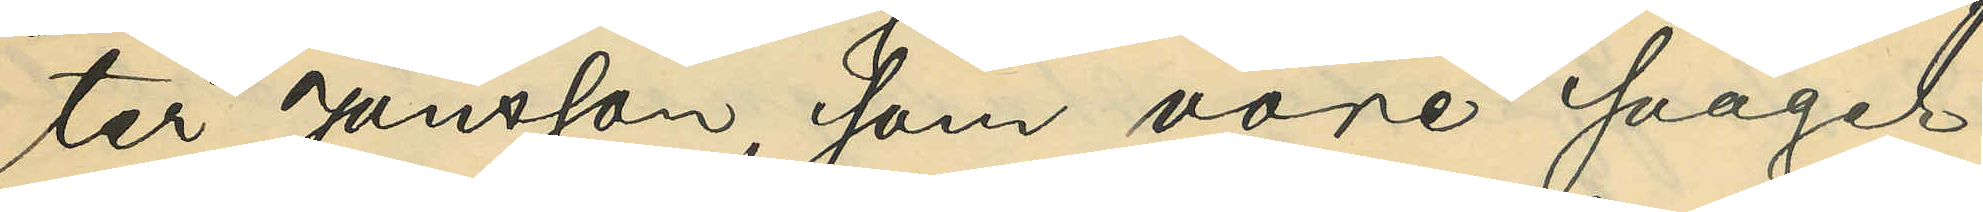ter Jönsson, som vore svåger
